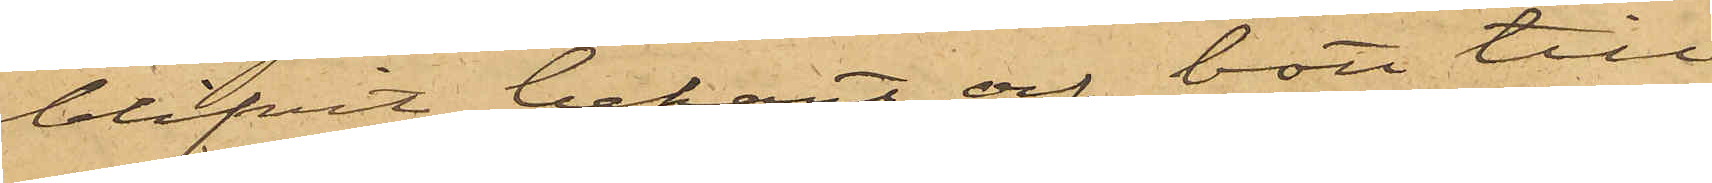blifvit bekant och bott till¬
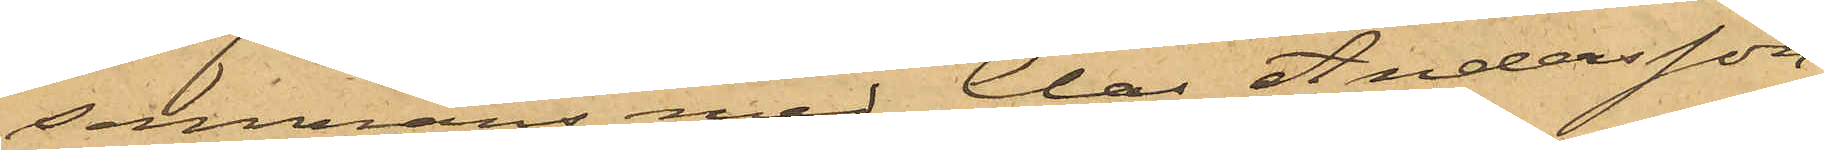sammans med Clas Andersson
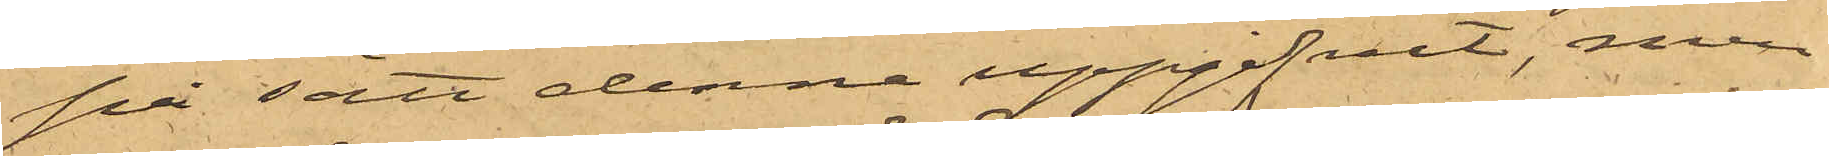på sätt denne uppgifvit, men
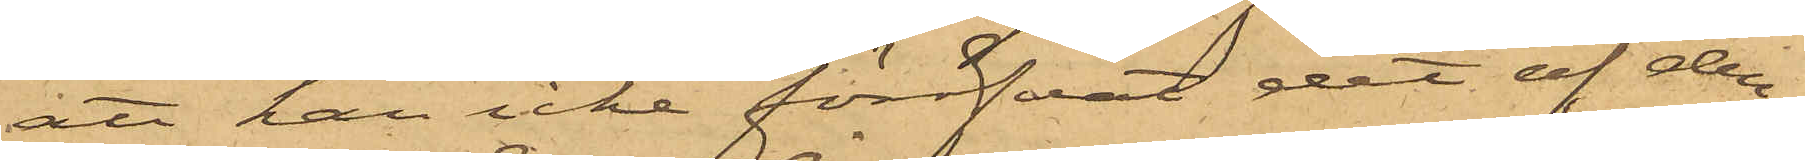att han icke föröfvat det af den¬
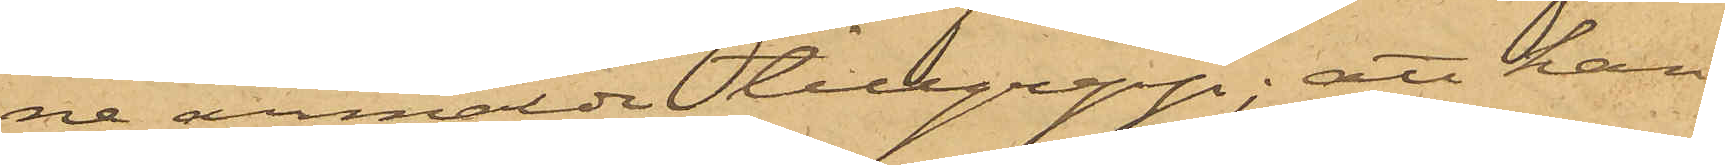ne anmälde tillgrepp; att han
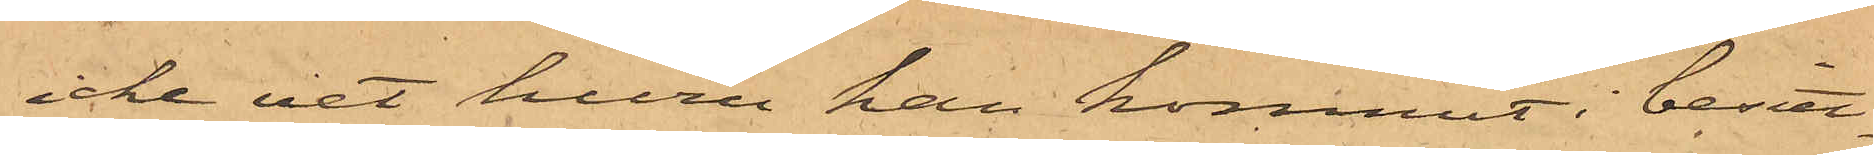icke vet huru han kommit i besitt¬
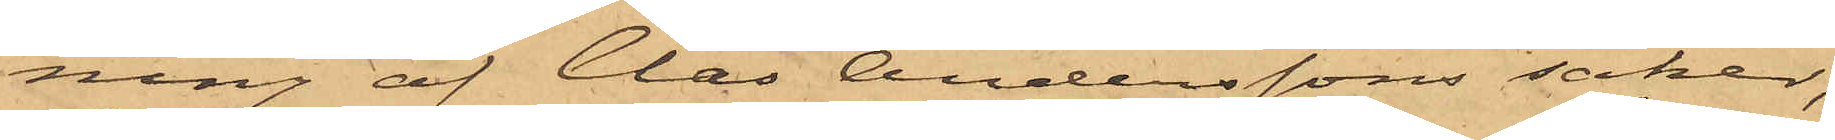ning af Clas Anderssons saker,
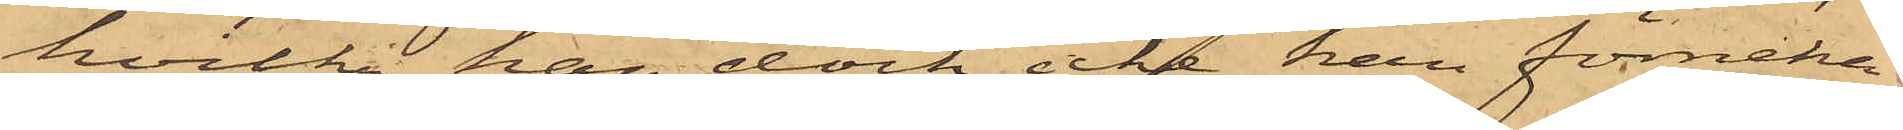hvilka han dock icke kan förneka
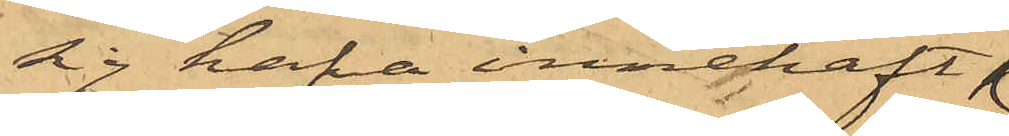sig hafva innehaft;
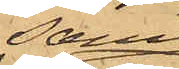samt
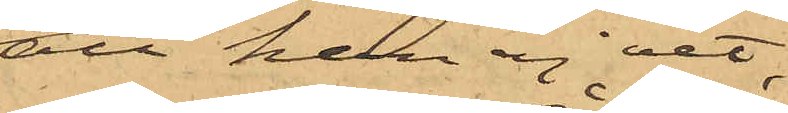att han ej vet,
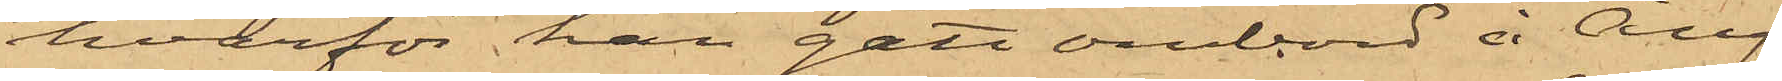hvarför han gått ombord å Ång¬
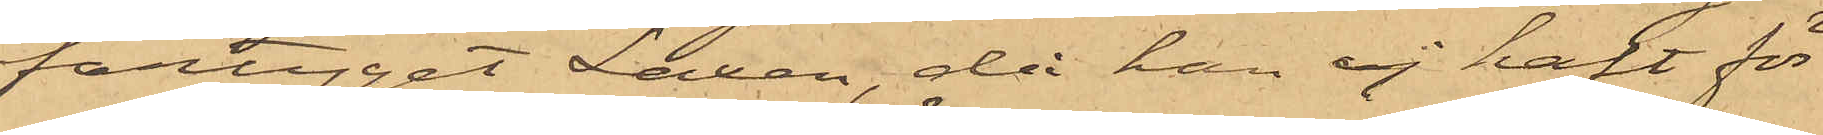fartyget Laxen, då han ej haft för
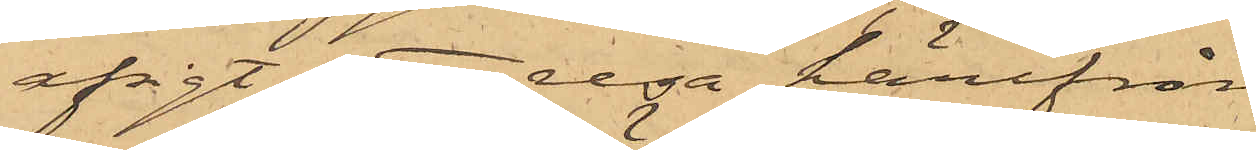afsigt att resa härifrån
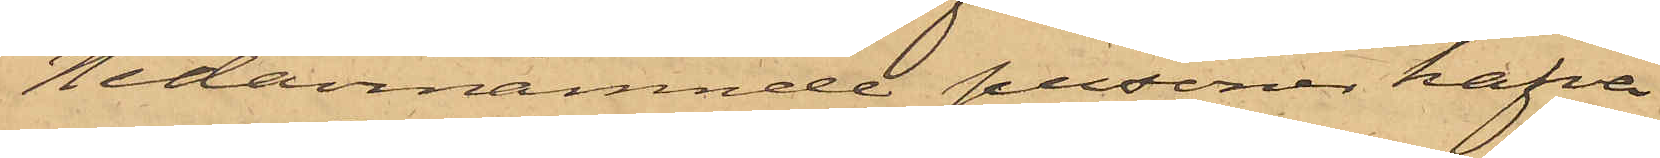Nedannämnde personer hafva
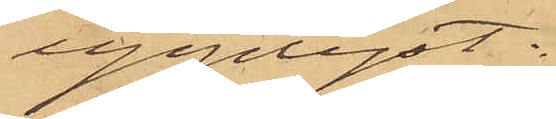upplyst:
